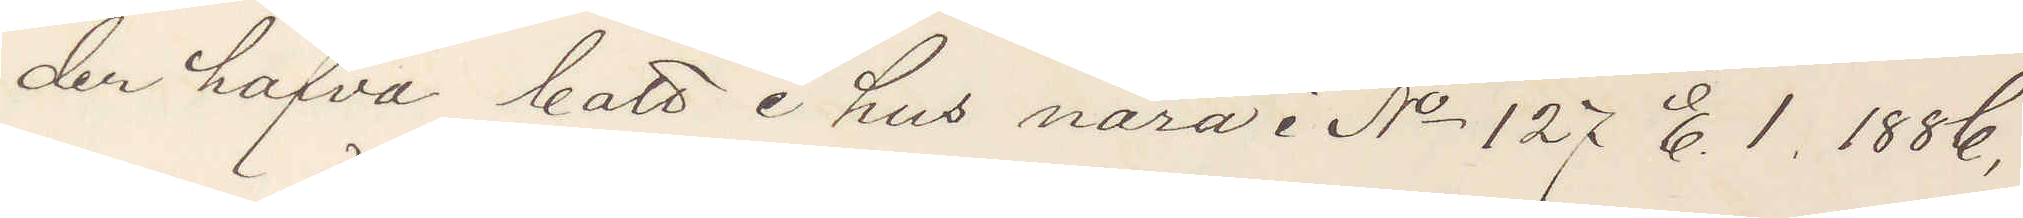der hafva bott i hus nära i No 127 E. 1. 1886,
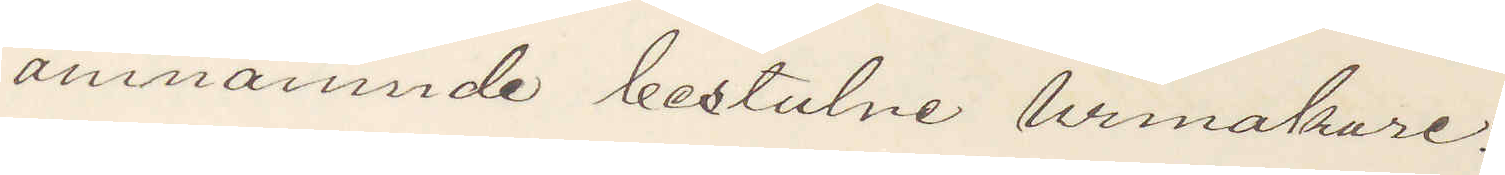omnämnde bestulne urmakare.
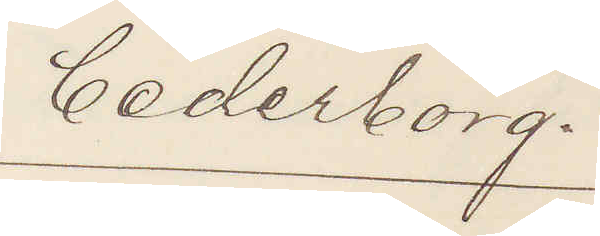Cederborg.
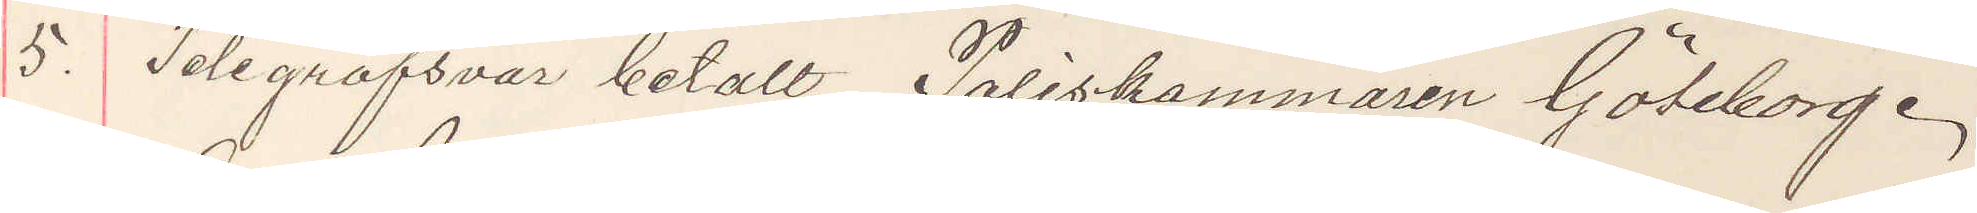5. Telegrafsvar betalt Poliskammaren Göteborg.
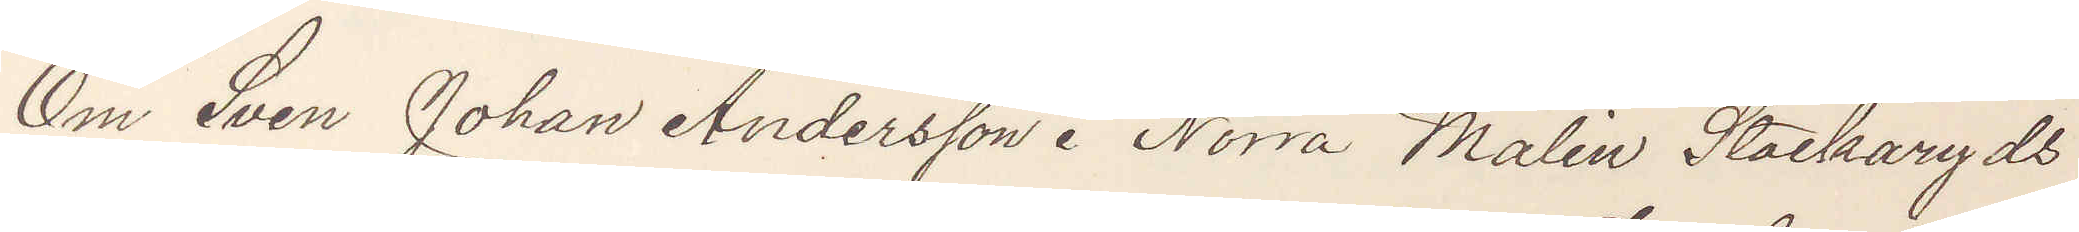Om Sven Johan Andersson i Norra Malin Stackaryds
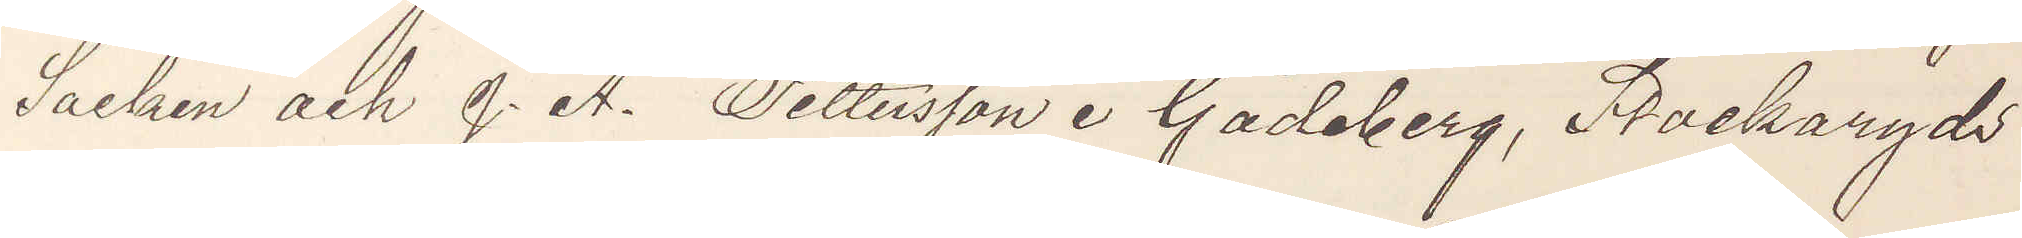Socken och J. A. Pettersson i Gådaberg, Stockaryds
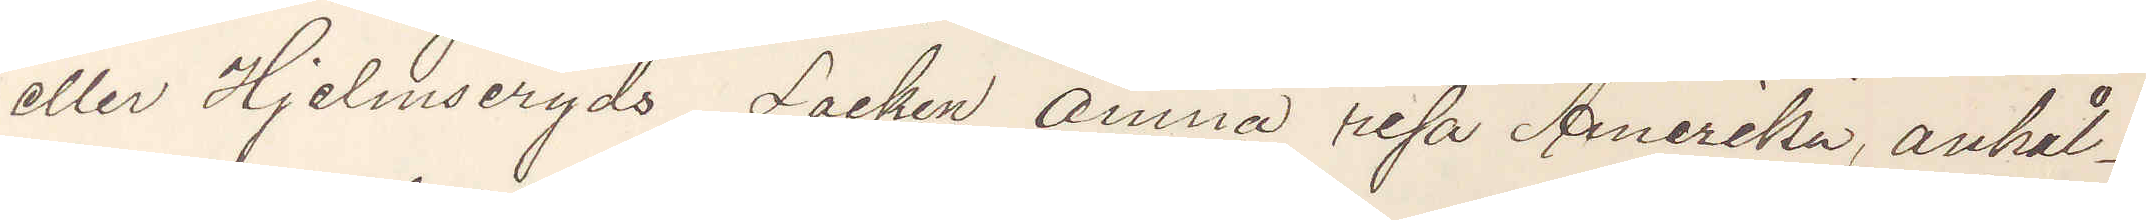eller Hjelmsereds Socken ämna resa Amerika, anhål¬
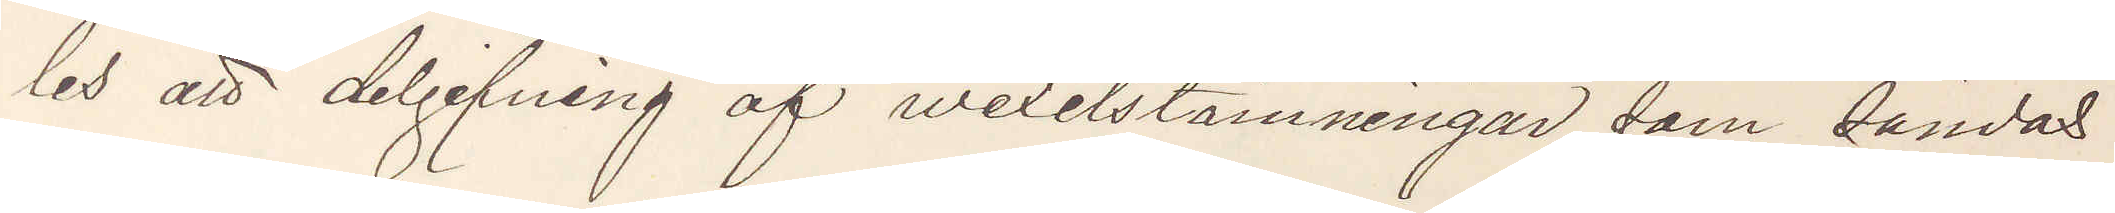les att delgifning af wexelstämningar som sändas
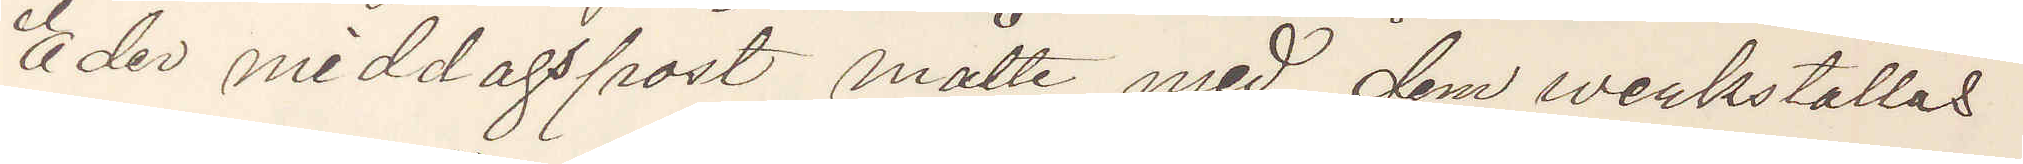Eder middagspost måtte med dem verkställas
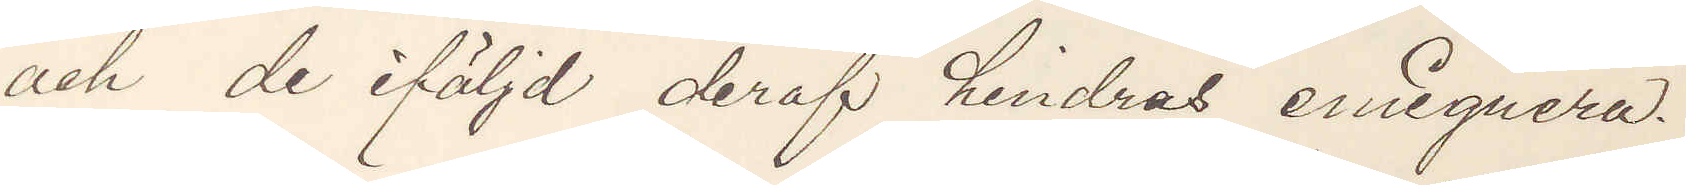och de iföljd deraf hindras emigrera.
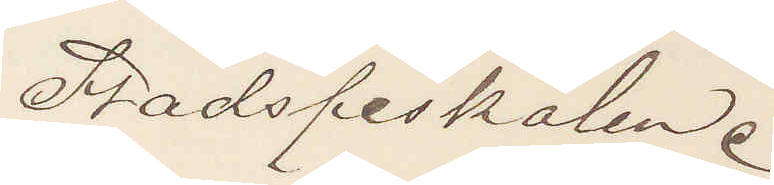Stadsfiskalen.
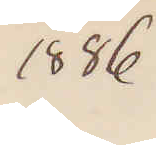1886
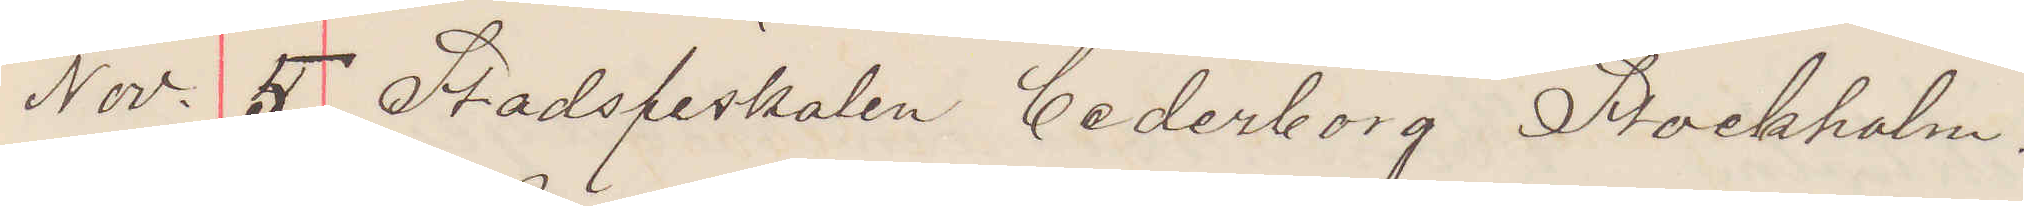Nov. 5. Stadsfiskalen Cederborg Stockholm,
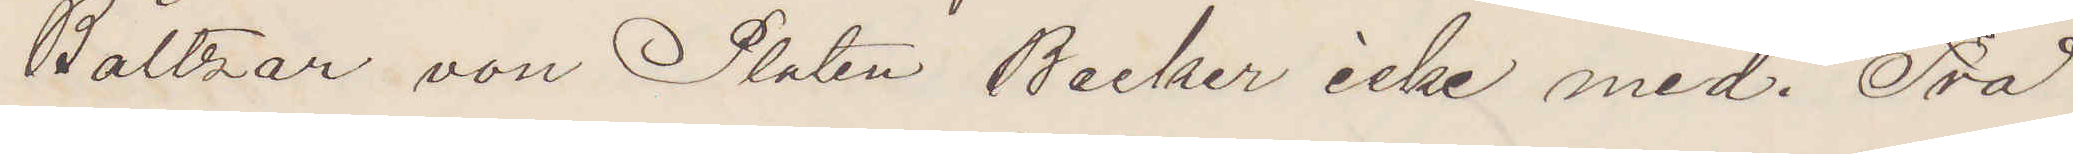Baltzar von Platen Becker icke med. Två
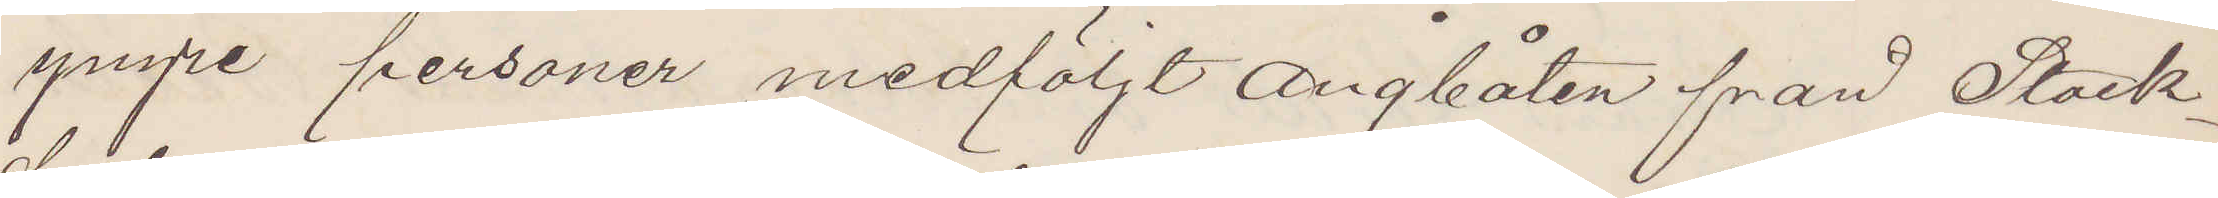yngre personer medföljt ångbåten från Stock¬
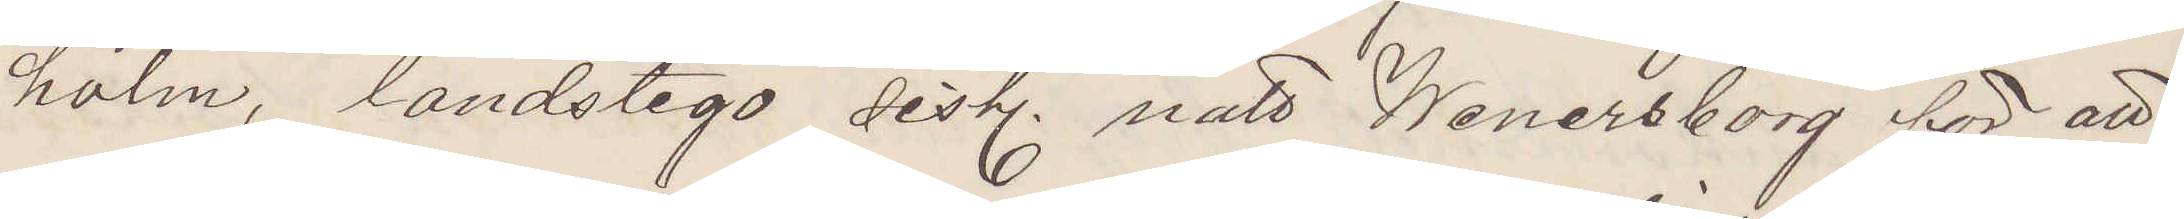holm, landstego sistl. natt Wenersborg för att
